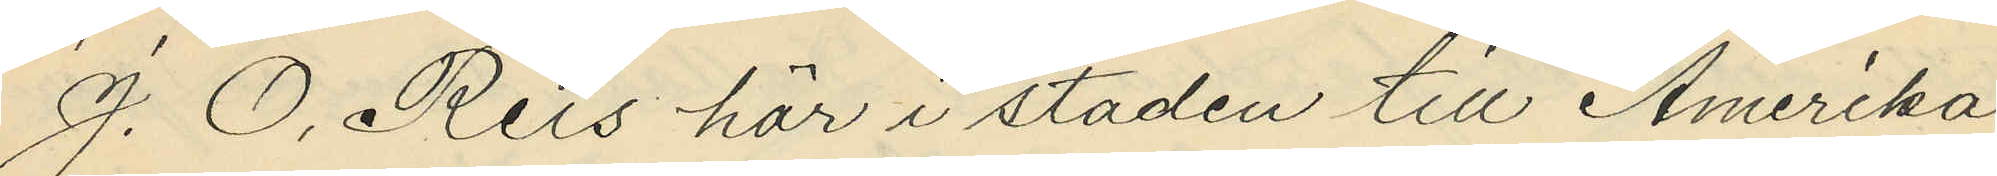J. O. Reis här i staden till Amerika
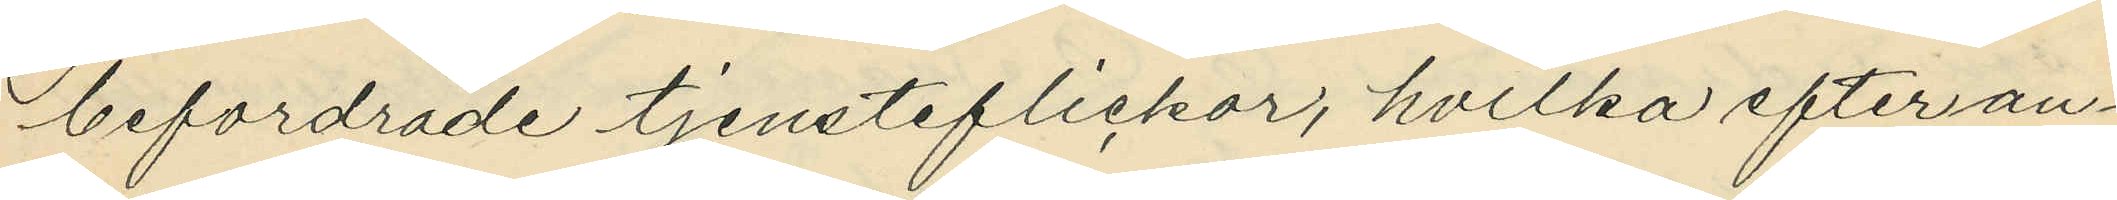befordrade tjensteflickor, hvilka efter an¬
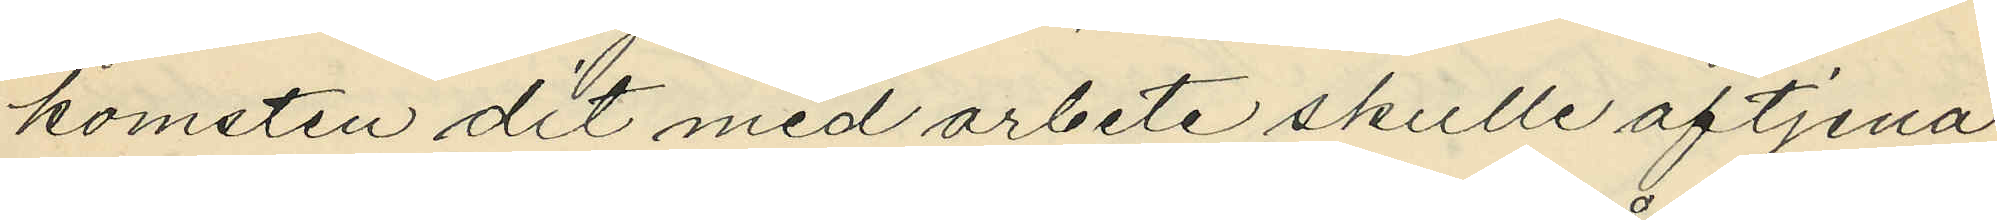komsten dit med arbete skulle aftjena
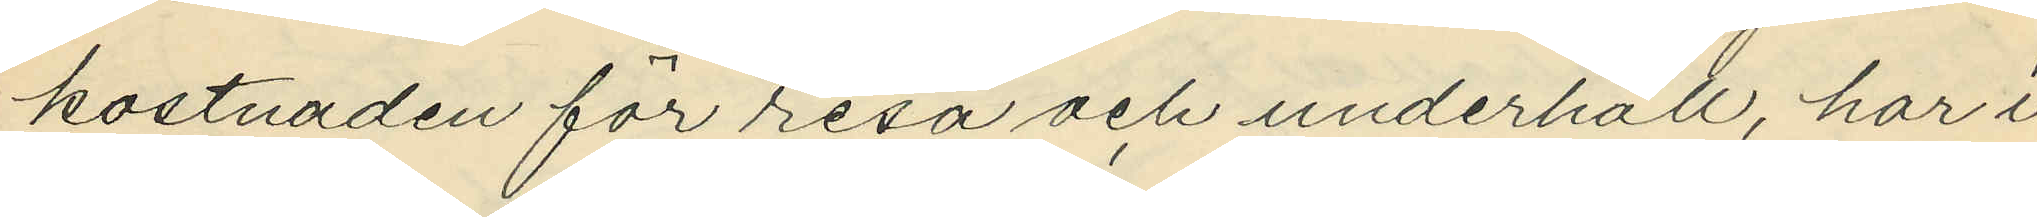kostnaden för resa och underhåll, har i
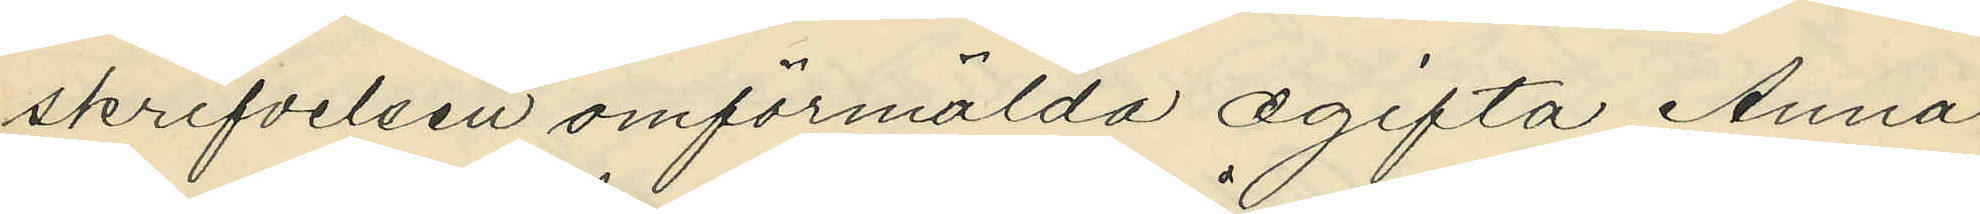skrifvelsen omförmälda ogifta Anna
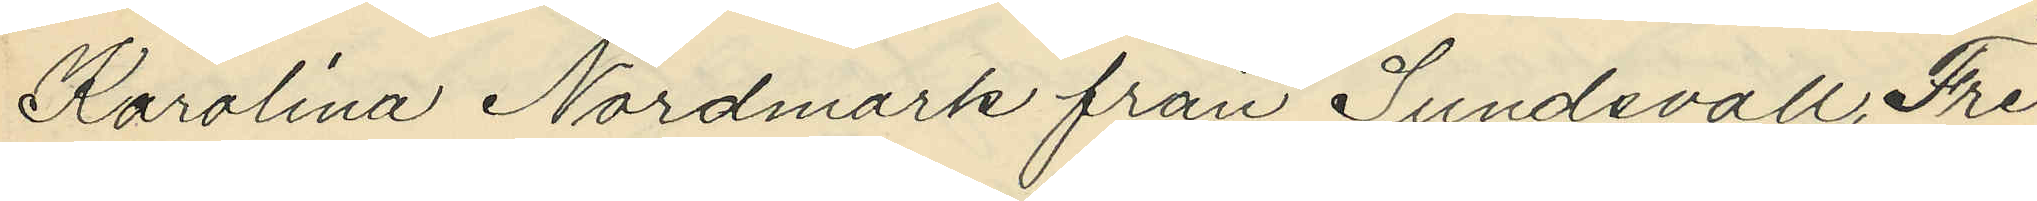Karolina Nordmark från Sundsvall, Fre¬
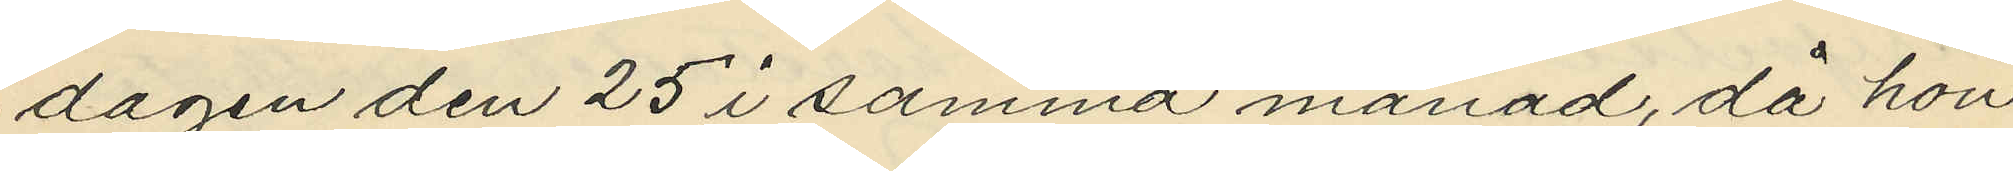dagen den 25 i samma månad, då hon
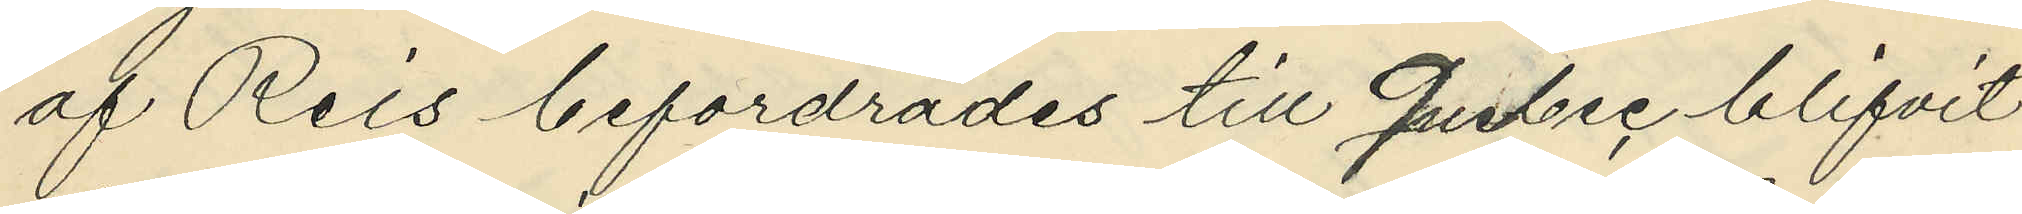af Reis befordrades till Quebec blifvit
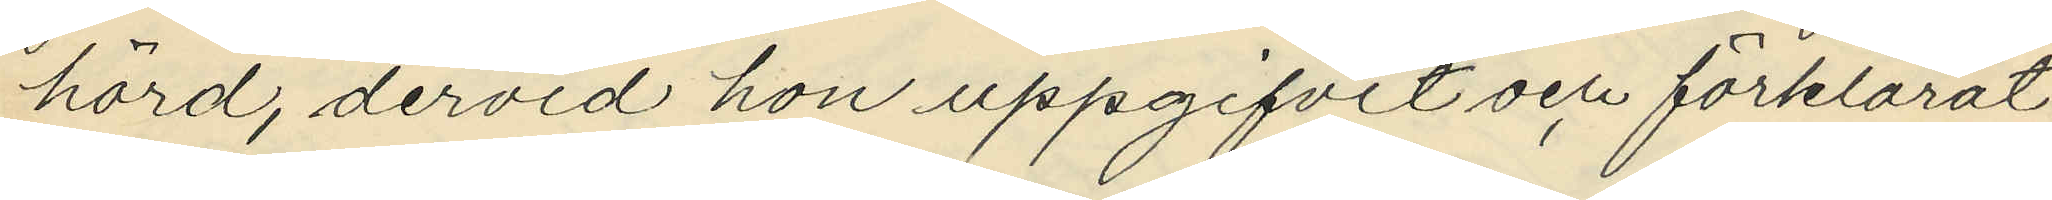hörd, dervid hon uppgifvit och förklarat:
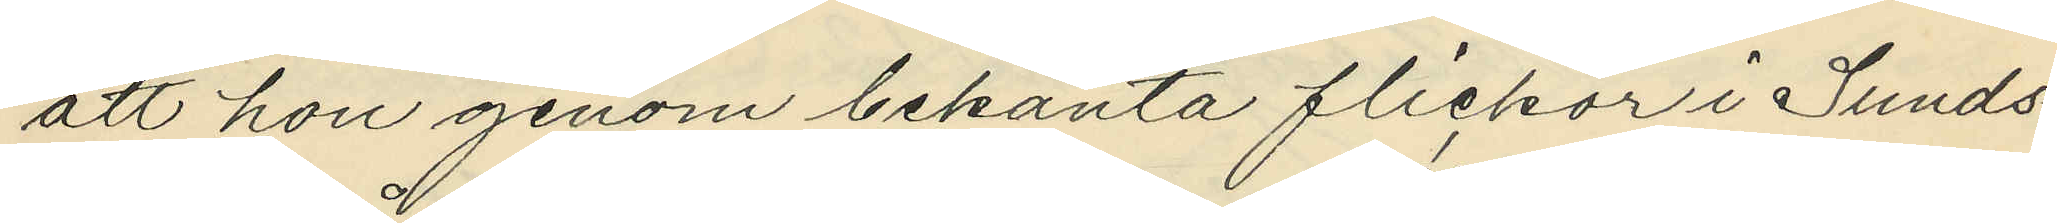att hon genom bekanta flickor i Sunds¬
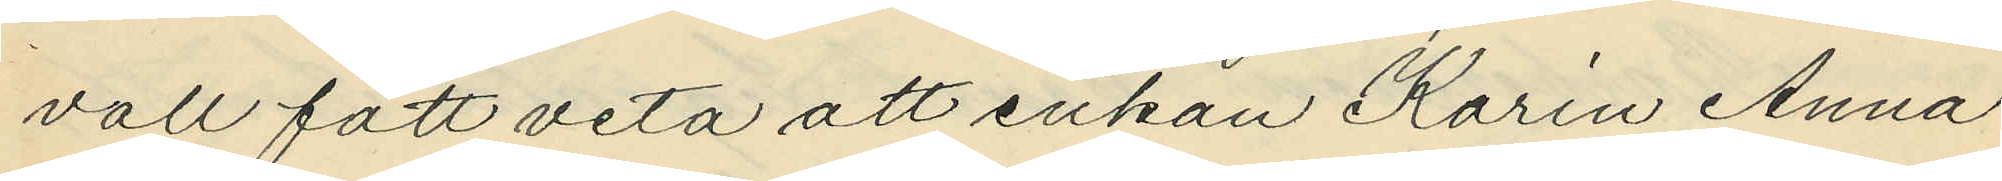vall fått veta att enkan Karin Anna
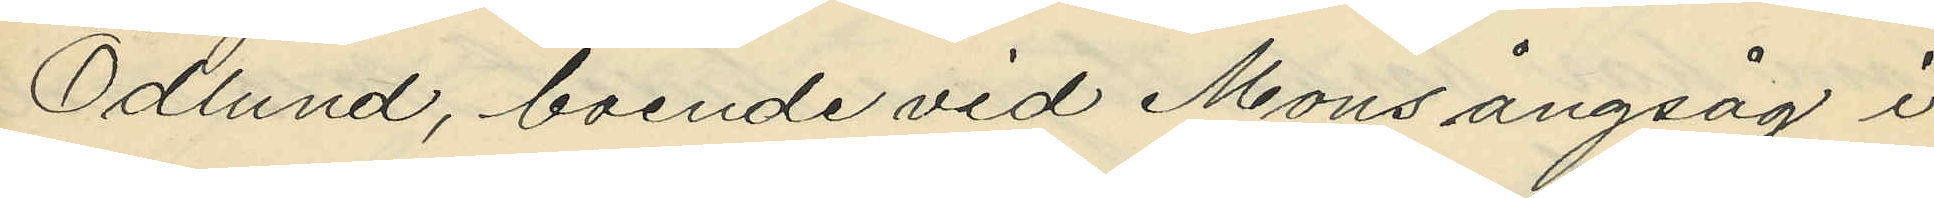Ödlund, boende vid Mons ångsåg i
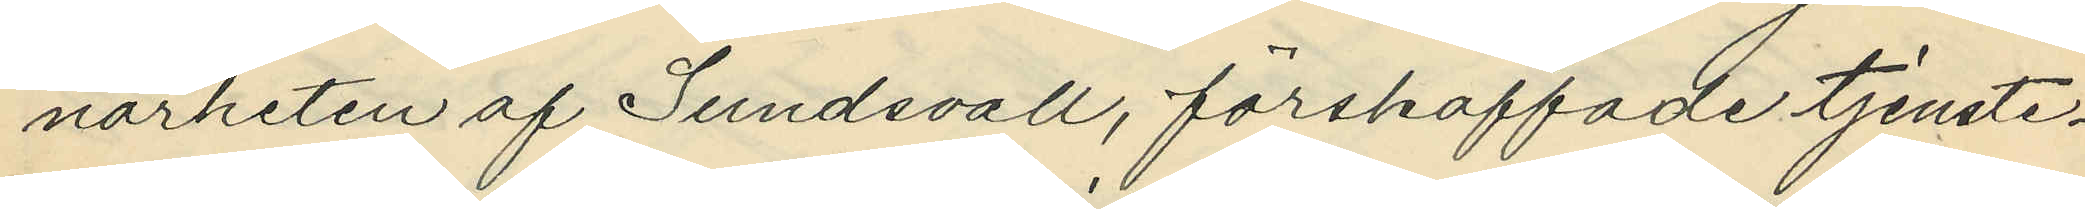närheten af Sundsvall, förskaffade tjenste¬
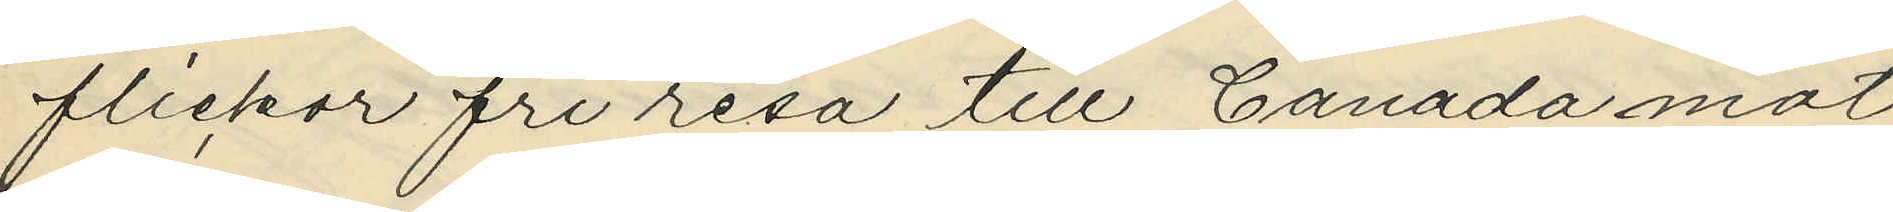flickor fri resa till Canada mot
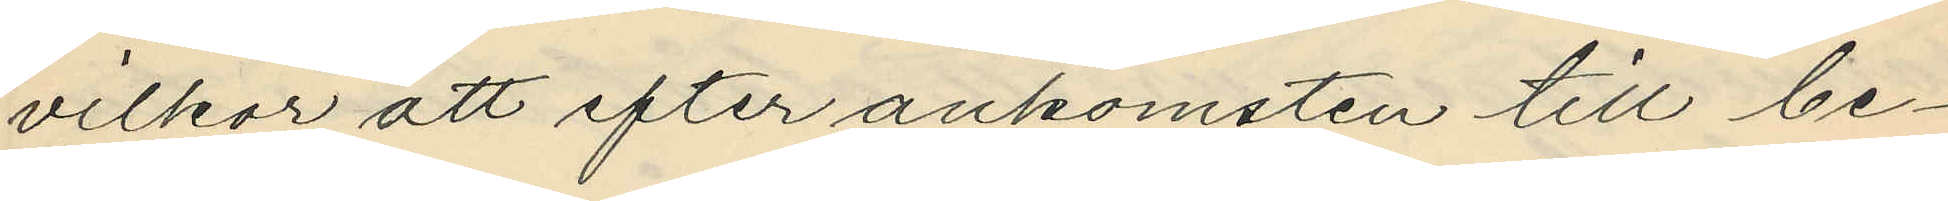vilkor att efter ankomsten till be¬
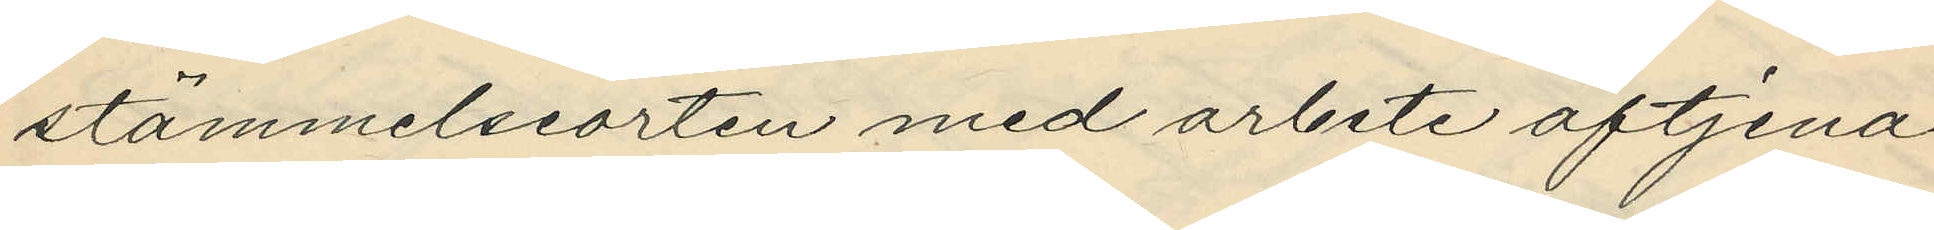stämmelseorten med arbete aftjena
